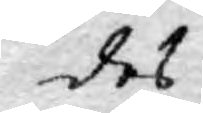des
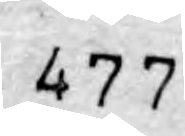477
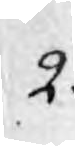2.
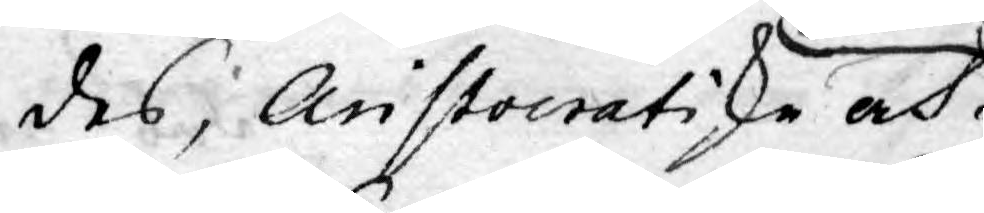des, Aristocratiske och
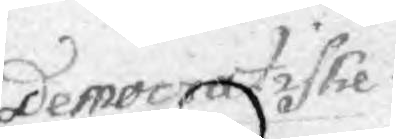Democratiske
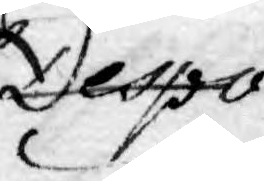Despo¬
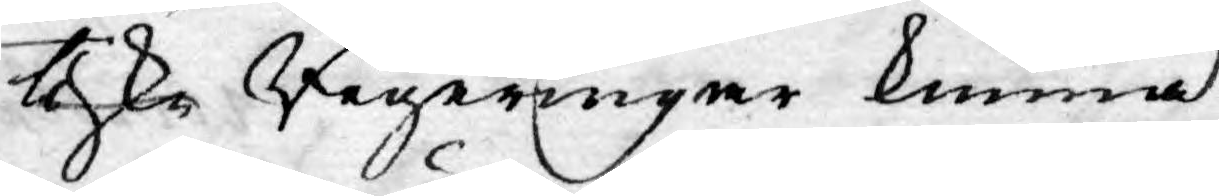tiske Regeringar kunna
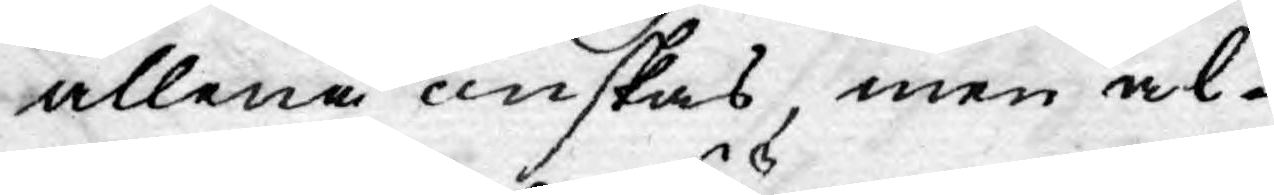allena önskas, men al¬
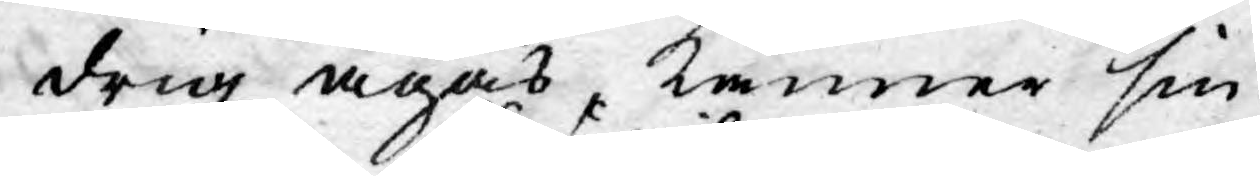drig ägas, känner sin
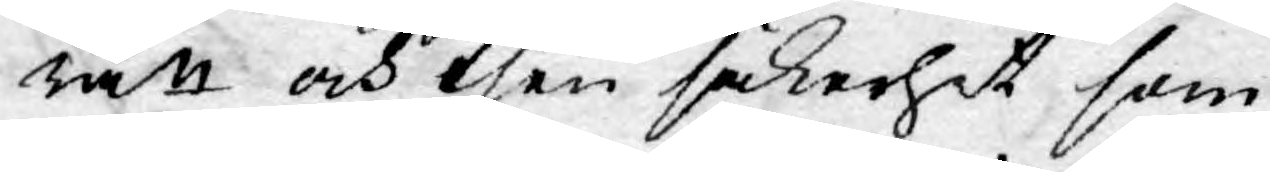rätt och then säkerhet som
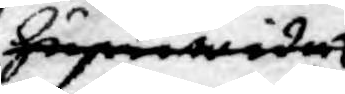huruwida
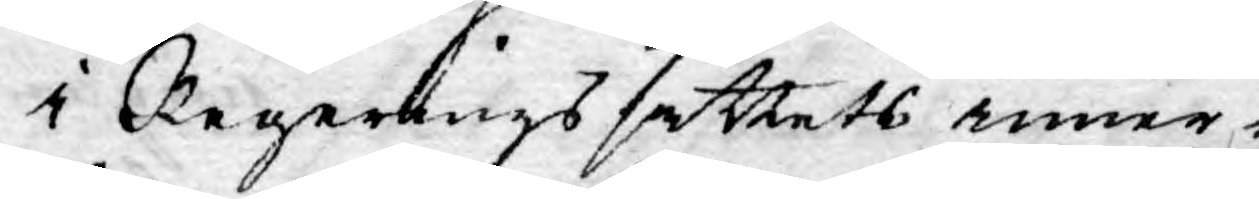i Regerings sättets inner¬
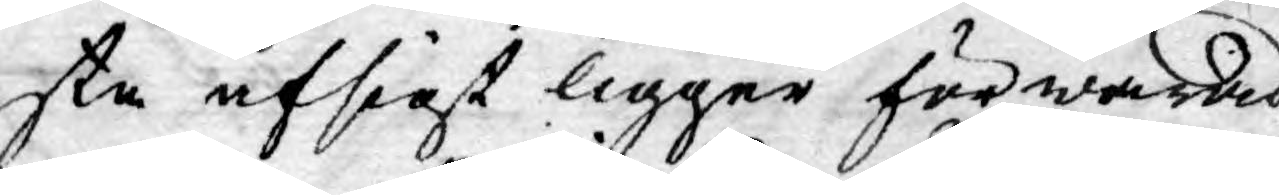sta afsigt ligger förwarad,
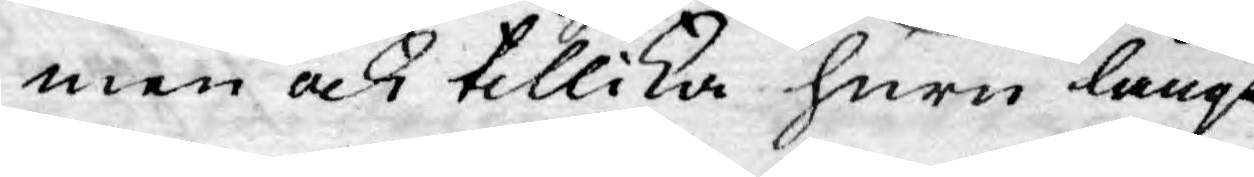men ock tillika huru långt
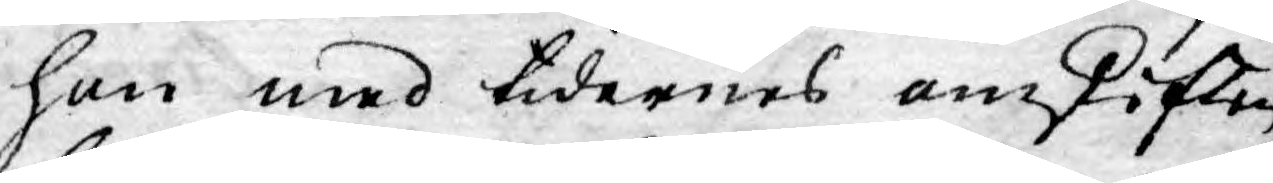hon med tidernes omskiften
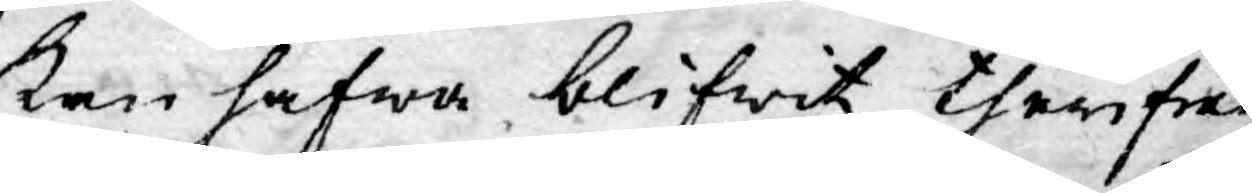kan hafwa blifwit therifrån
